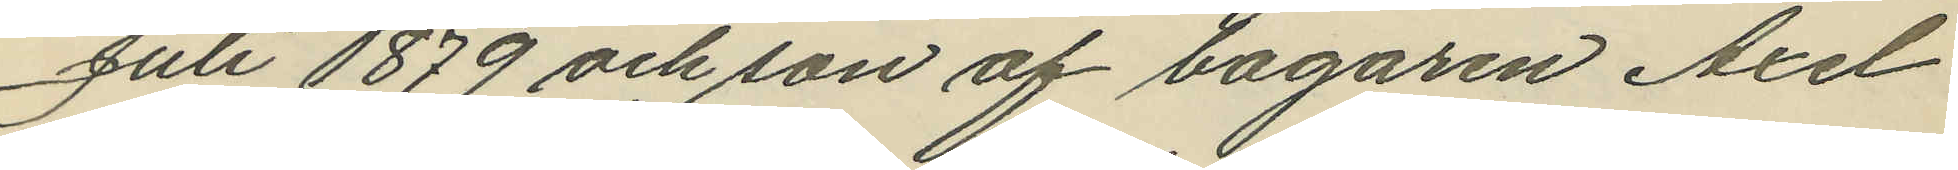Juli 1879 och son af bagaren Axel
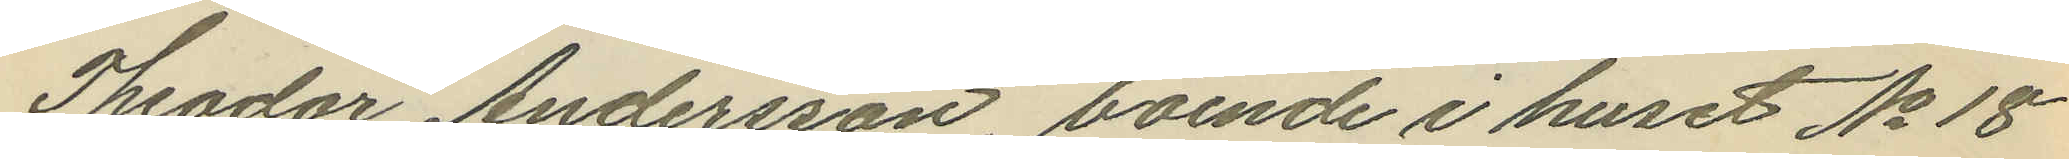Theodor Andersson boende i huset No 18
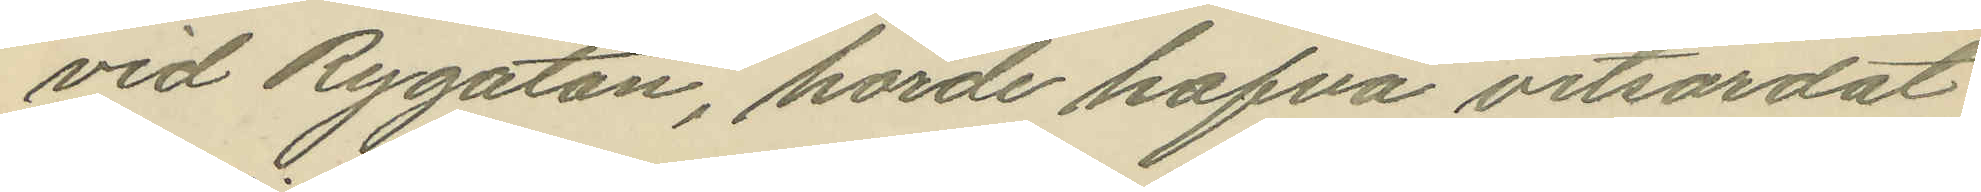vid Rygatan, hörde hafva vitsordat
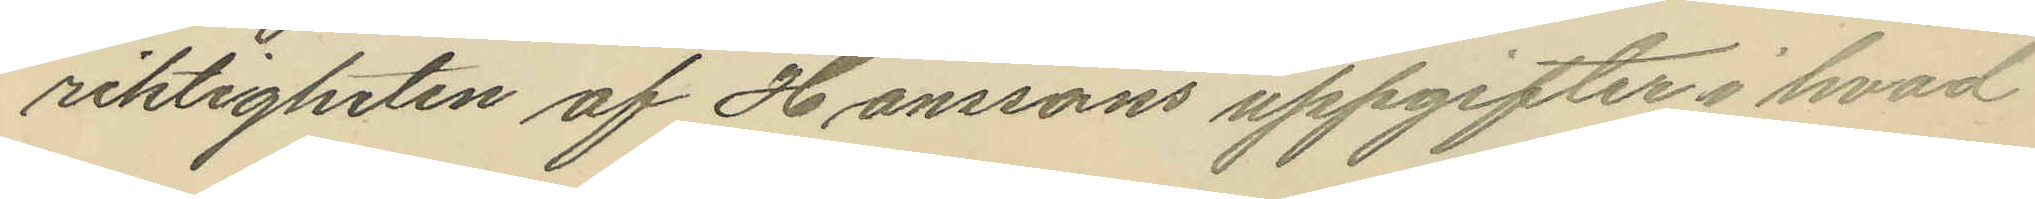riktigheten af Hanssons uppgifter i hvad
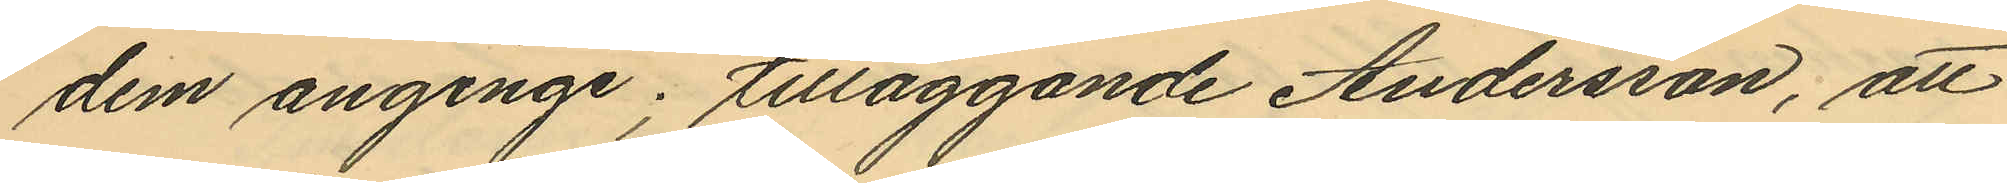dem anginge; tilläggande Andersson, att
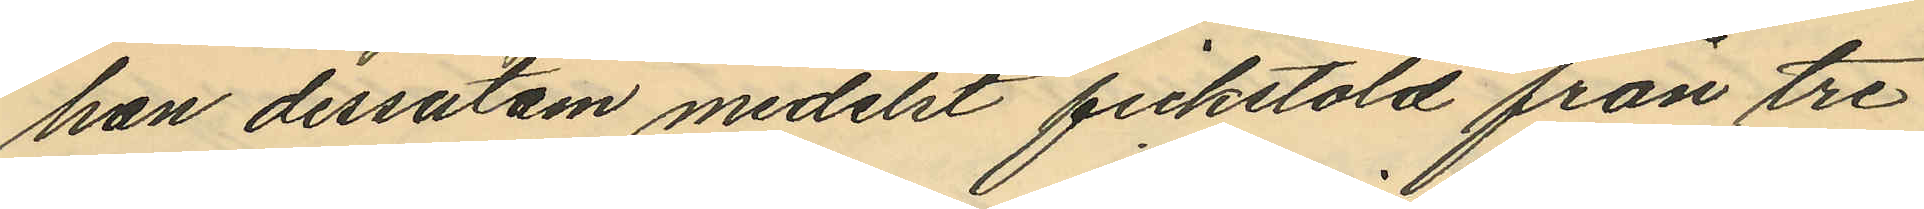han dessutom medelst fickstöld från tre
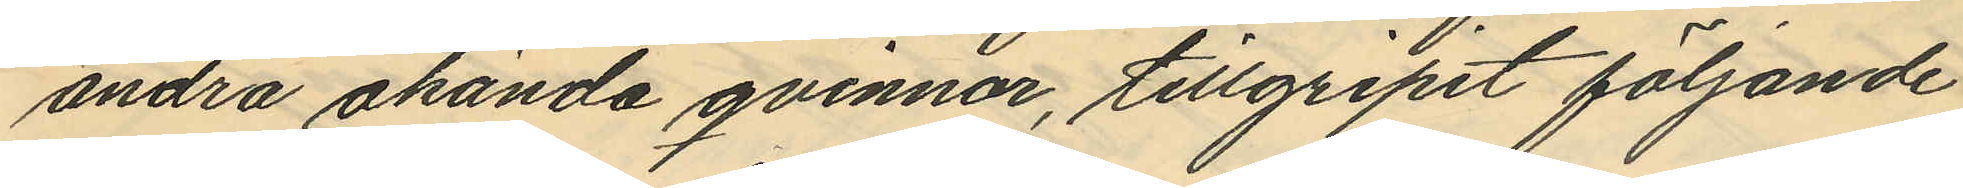andra okända qvinnor, tillgripit följande
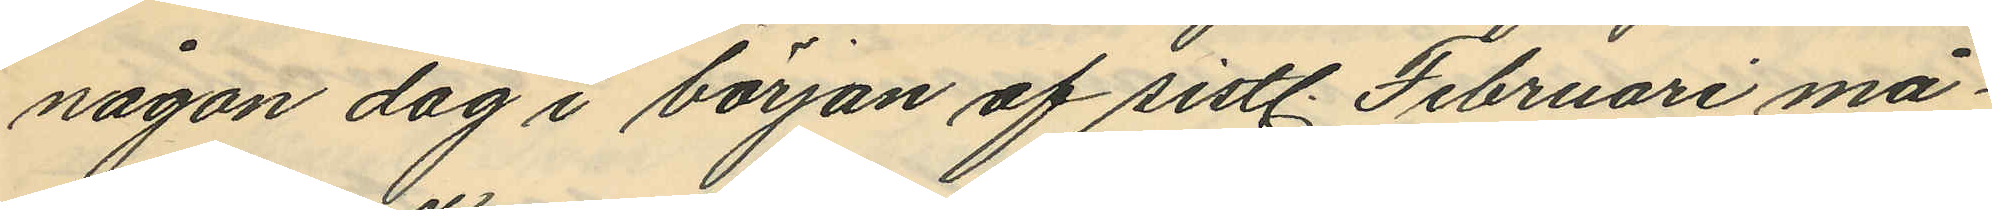någon dag i början af sistl. Februari må¬
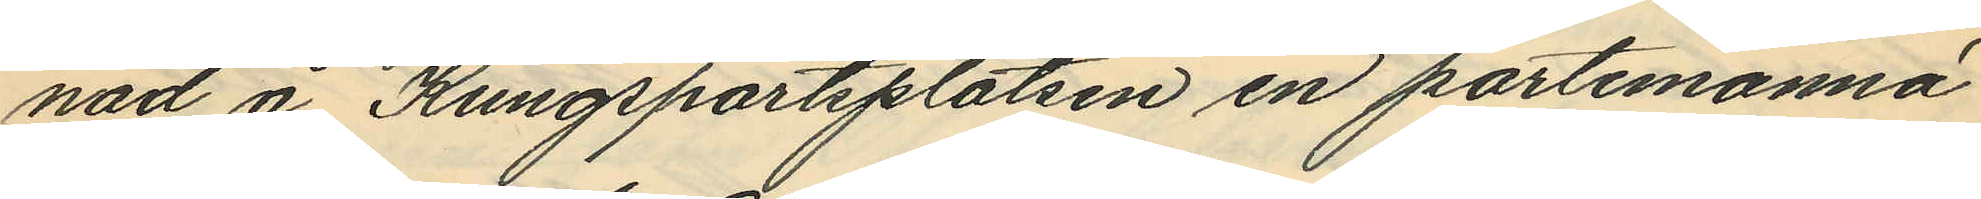nad å Kungsportsplatsen en portemonnä
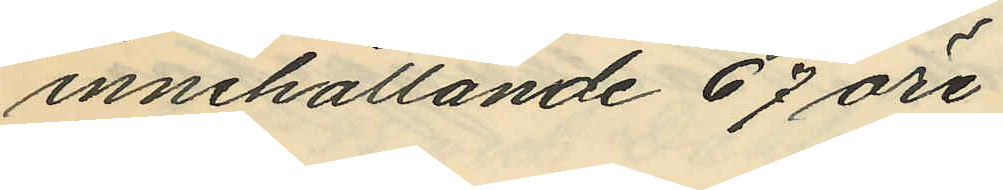innehållande 67 öre.
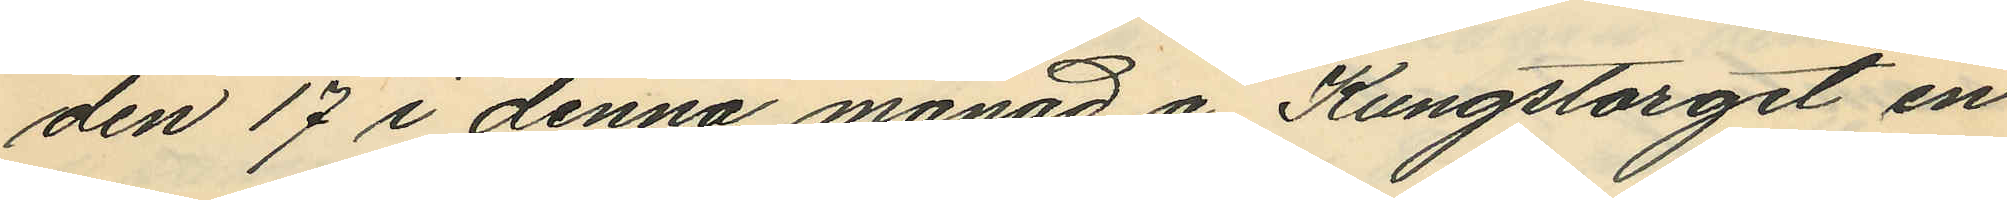den 17 i denna månad å Kungstorget en
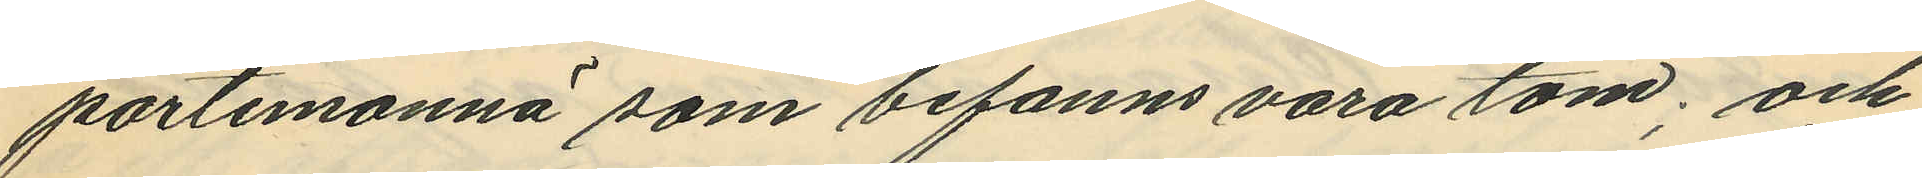portemonnä som befanns vara tom; och
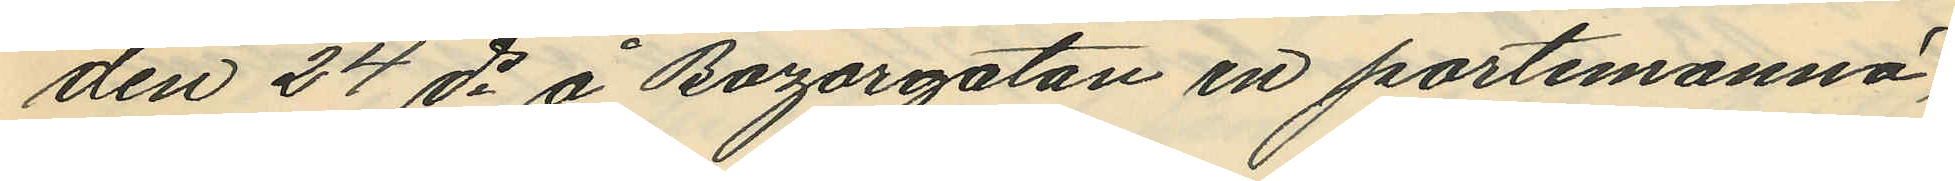den 24 ds å Bazargatan en portemonnä,
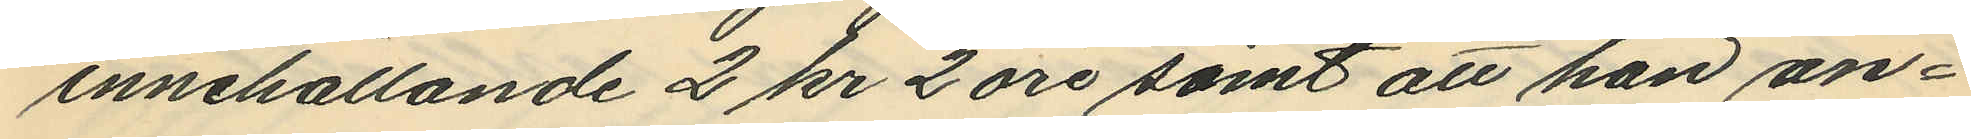innehållande 2 kr 2 öre samt att han an¬
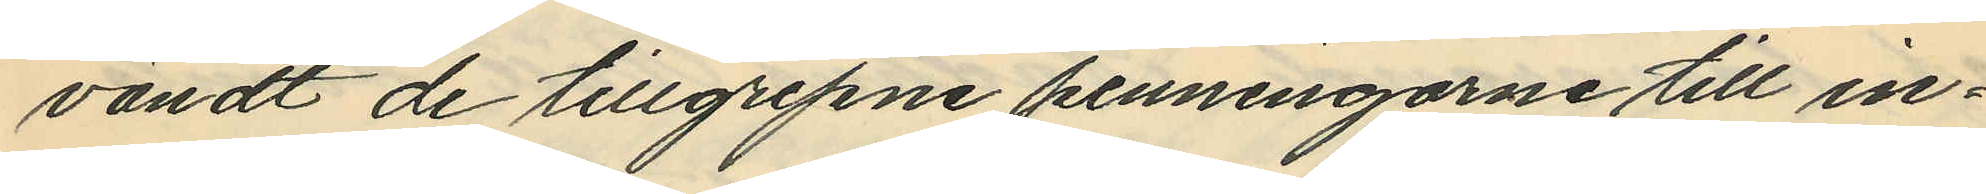vändt de tillgripne penningarne till in¬
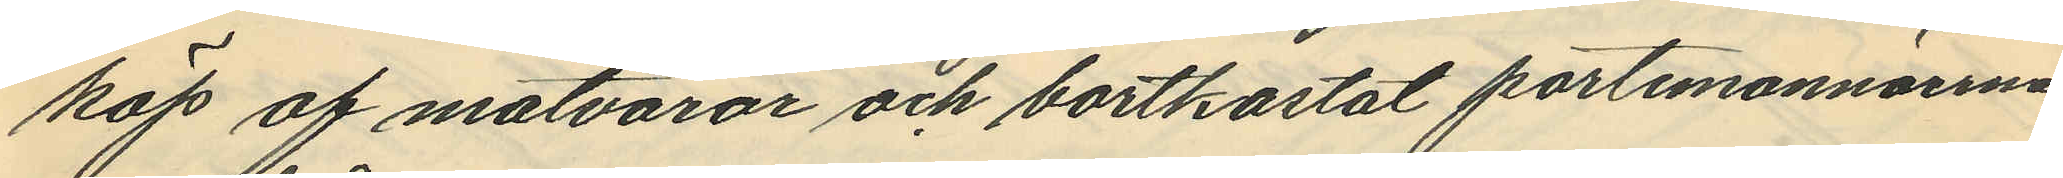köp af matvaror och bortkastat portemonnäerna
